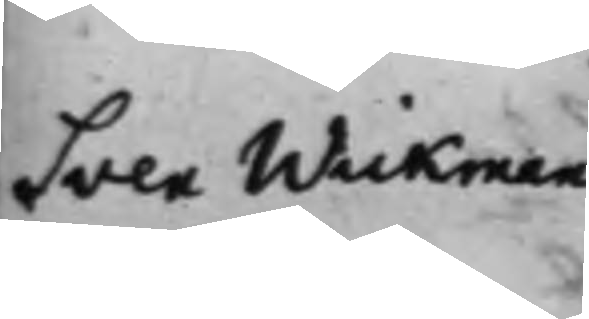Sven Wickman
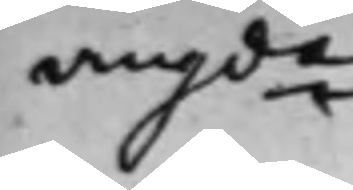angde
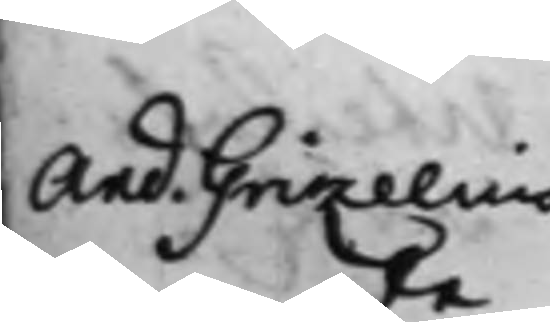And. Grizelius
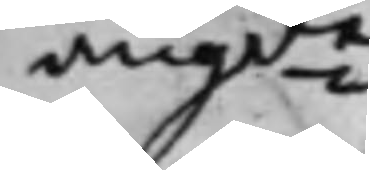angde
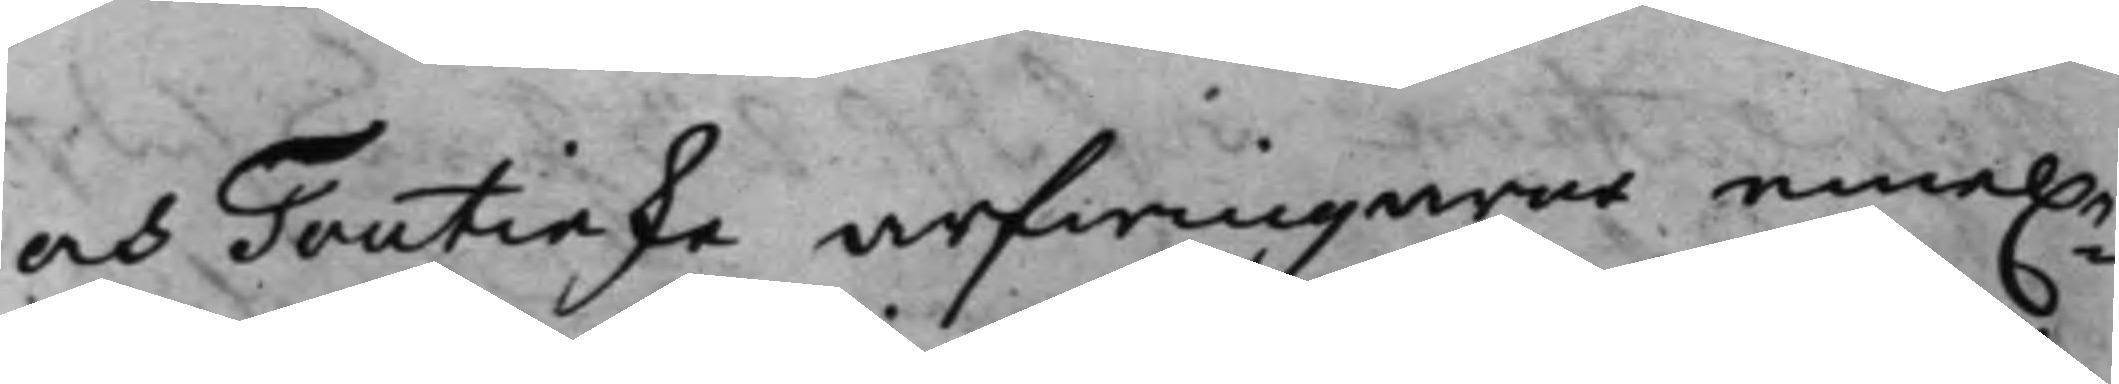och Toutinske arfwingarne emel.n
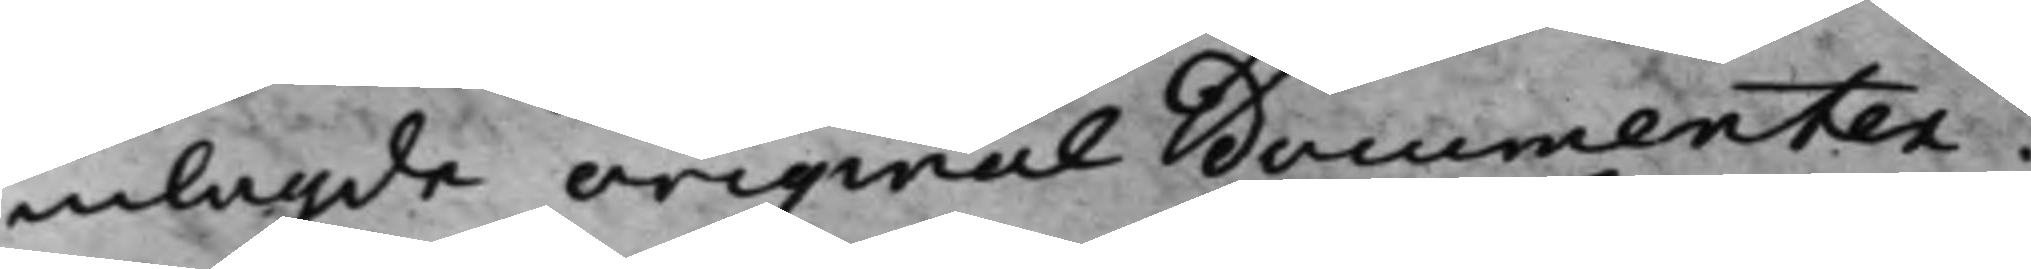inlagde original documenter:
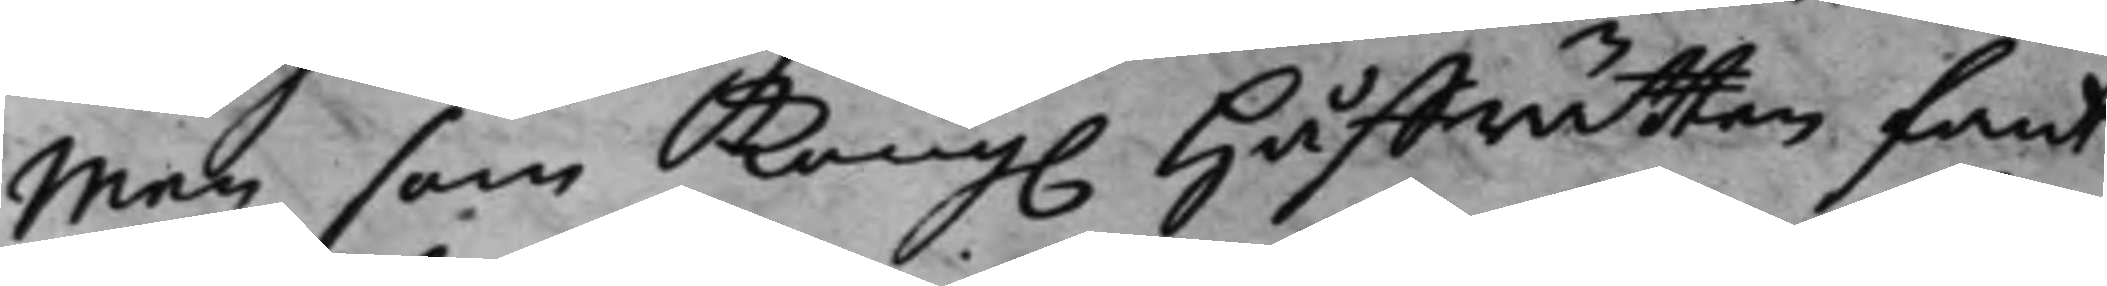Men som Kong. Håffrätten fant
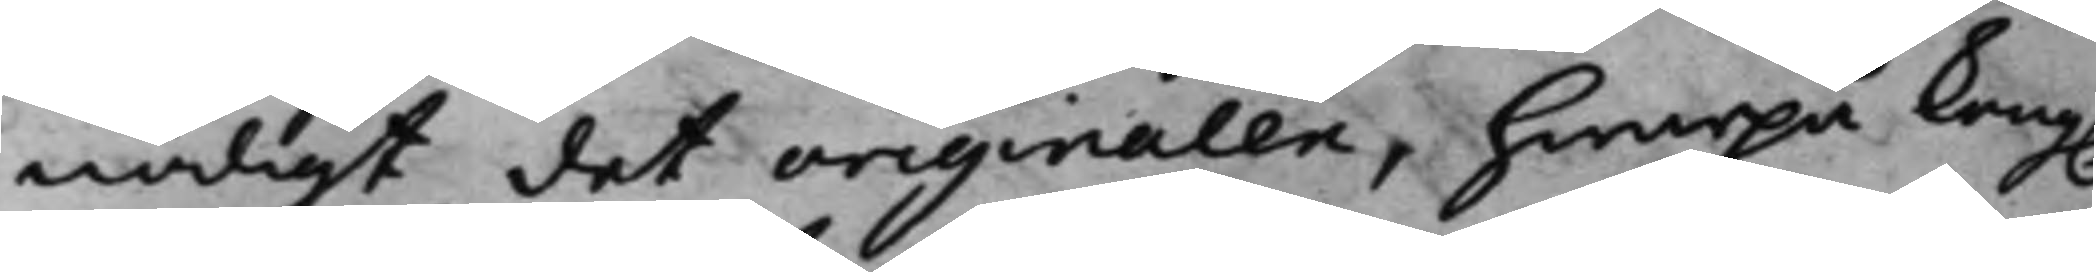nödigt det originalen, hwarpå Kong.
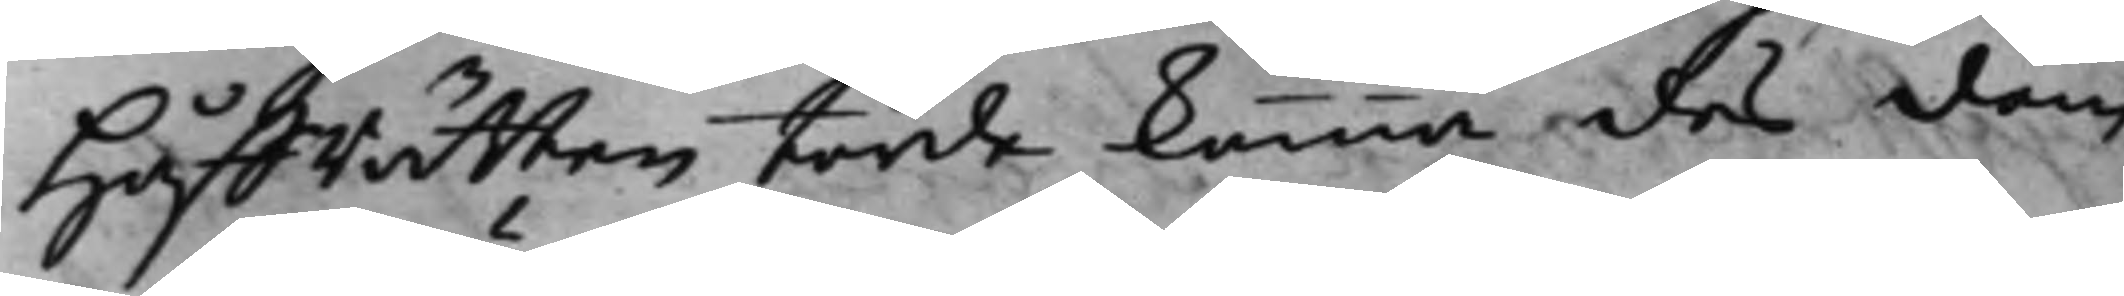Håffrätten torde komma des dom
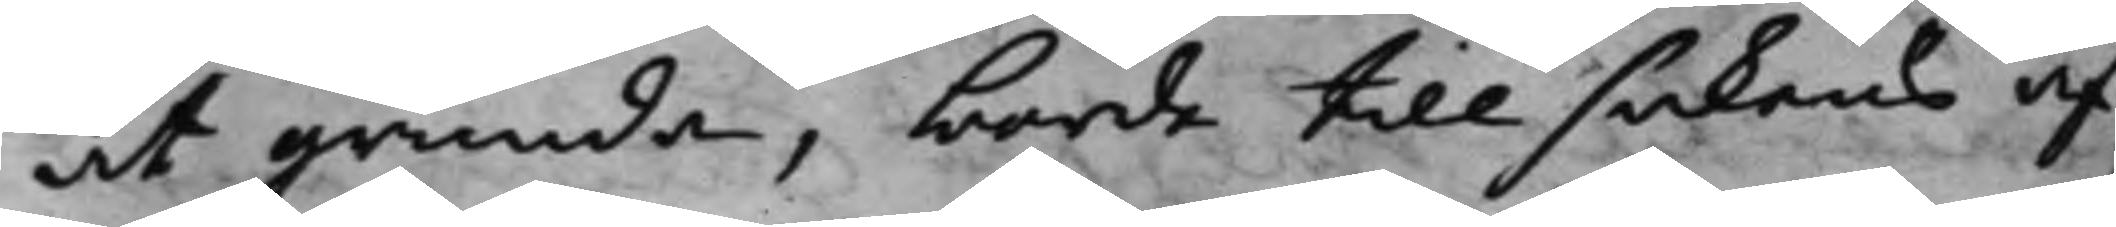at grunda, borde till sakens af¬
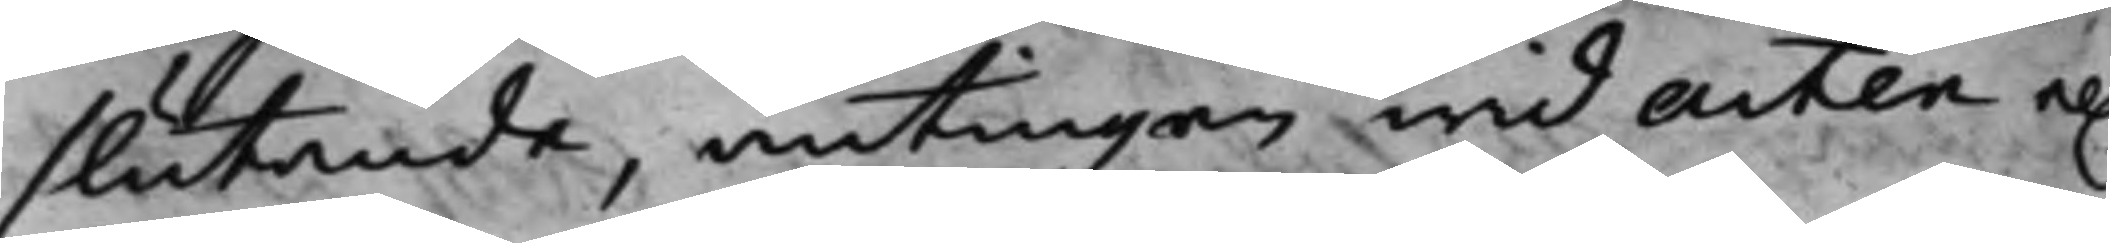slutande, antingen wid Acten el.
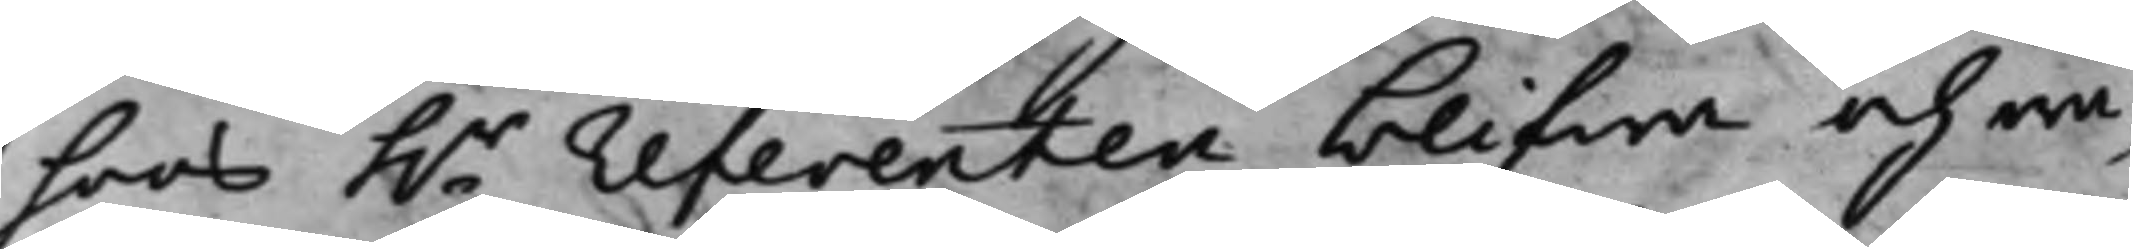hoos h.r referenten blifwa och wa¬
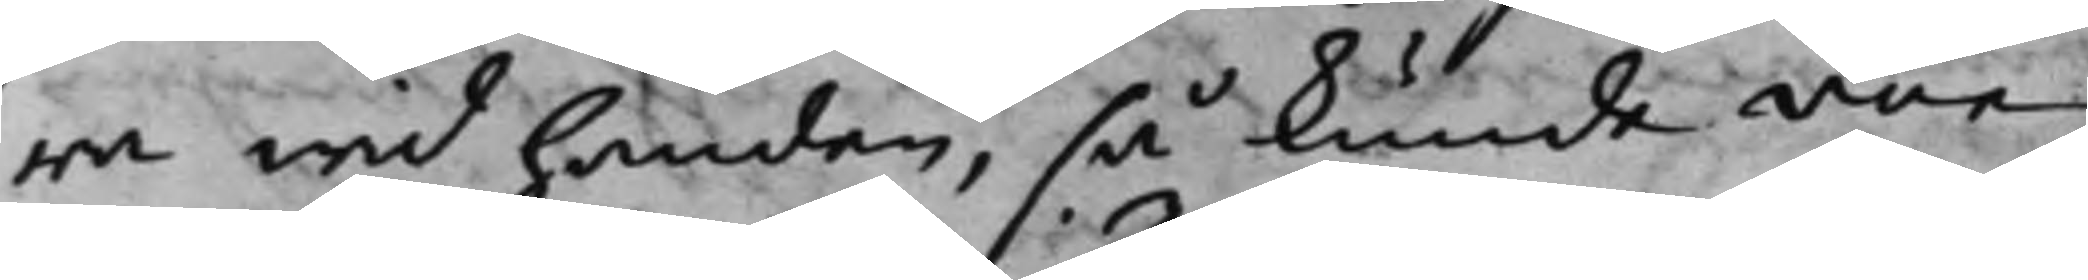ra wid handen, så kunde von
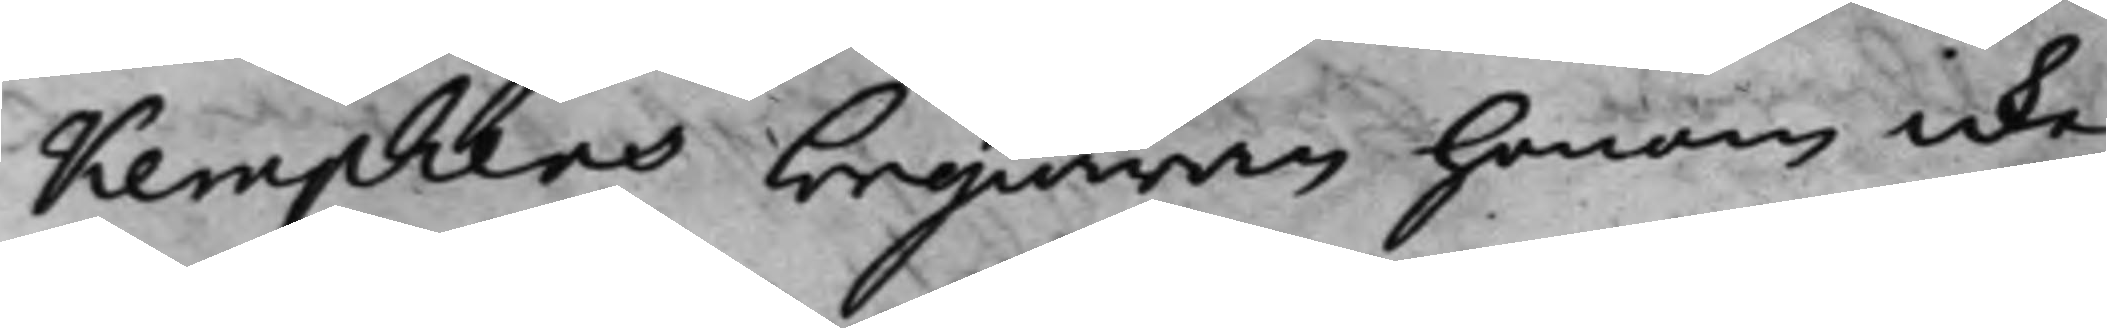Kemphens begiäran honom icke
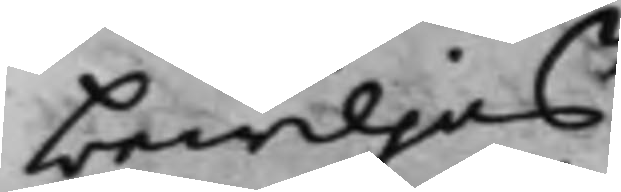bewiljas.
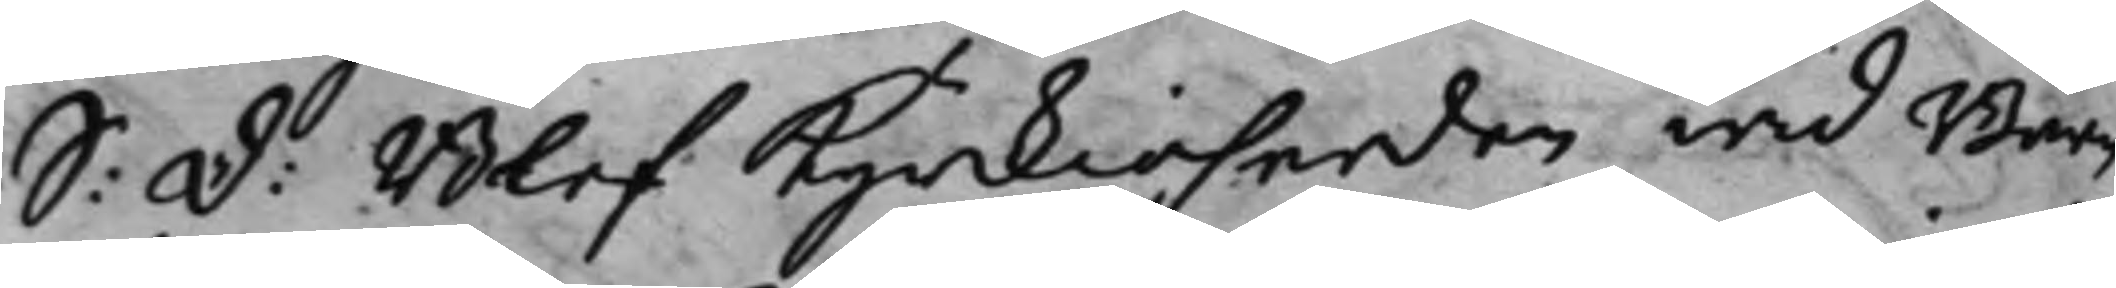S: d: Blef Kyrkioherden wid Barn¬
